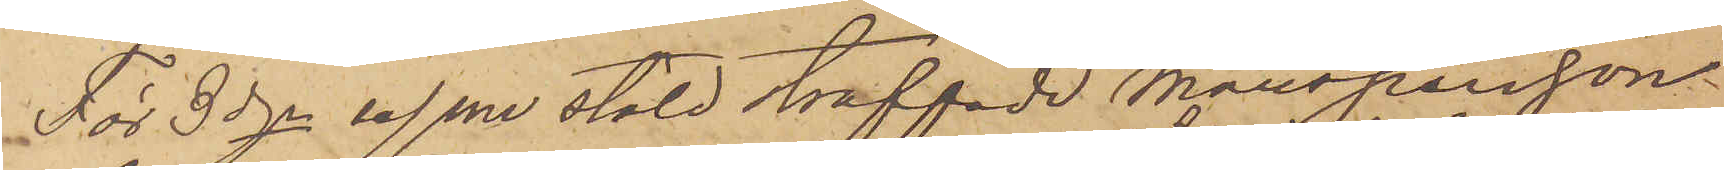För 3dje resan stöld straffade Mansperson
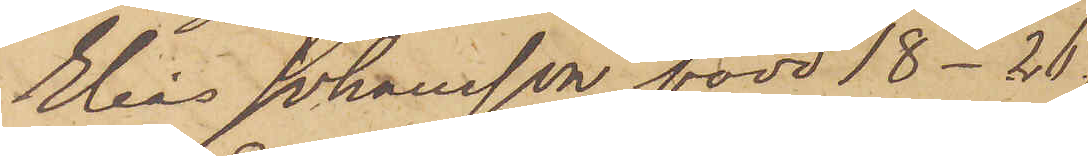Elias Johansson född 18-26.
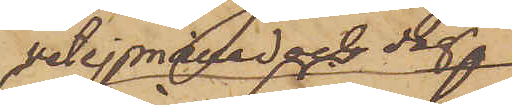vet ej månad och dag
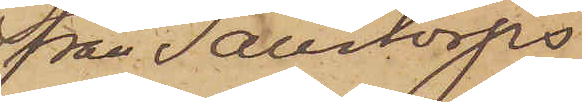från Sällstorps
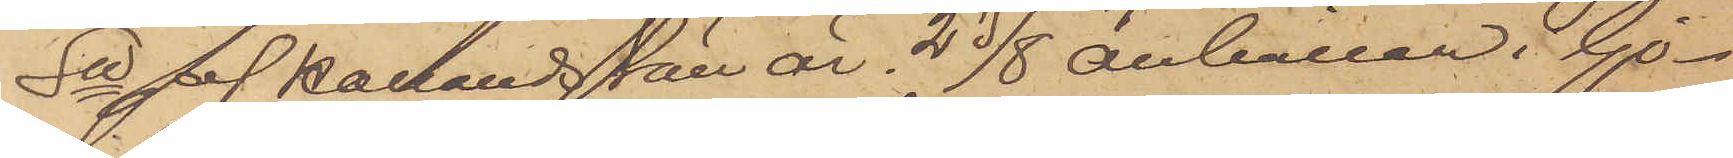Sn af Hallands Län är 23/8 anhållen i Gö¬
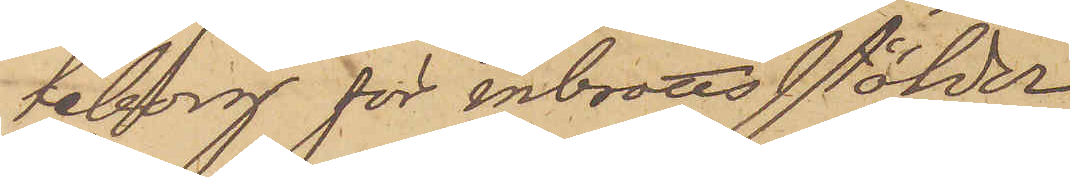teborg för inbrottsstölder.
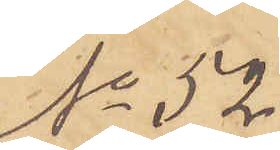No 52
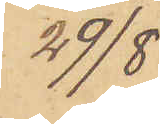29/8
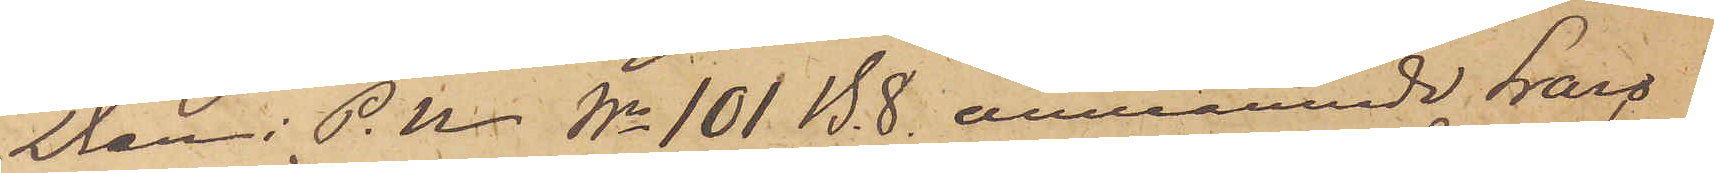Den i P.U. No 101 B. 8. omnämnde Lars
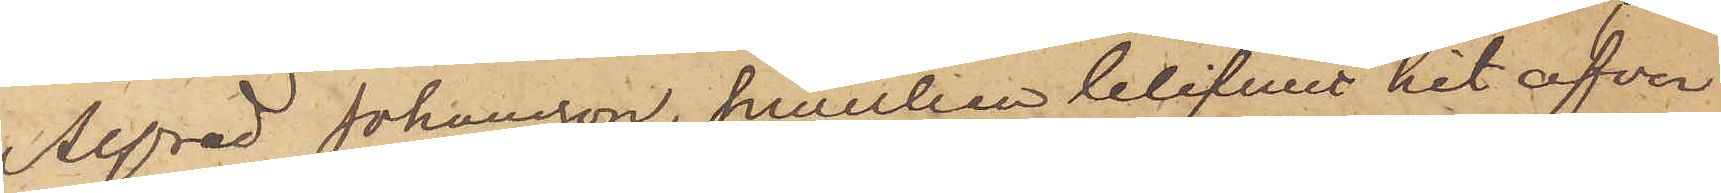Alfred Johansson, hwilken blifvit hit öfver¬
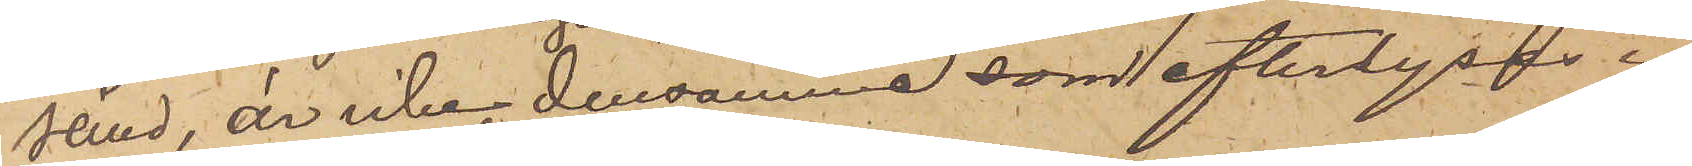sänd, är icke densamma som efterlyses i
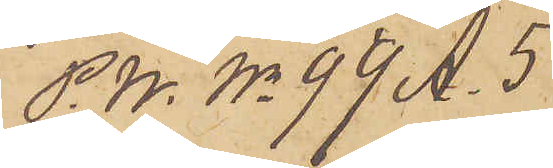P.U. No 99 A. 5
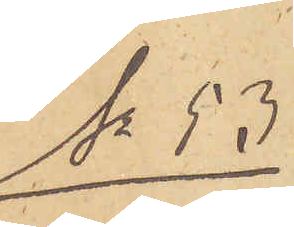No 53
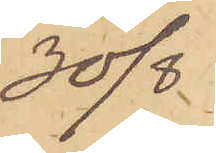30/8
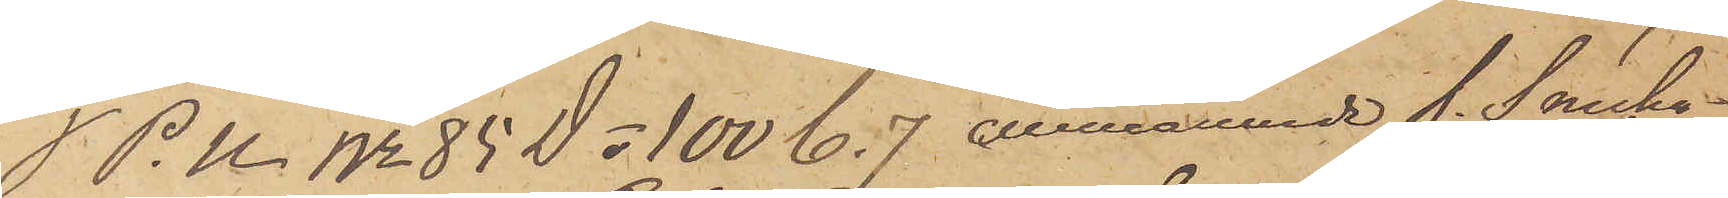I. P.U. No 85 D o 100 C. 7 omnämnde f. Snicka¬
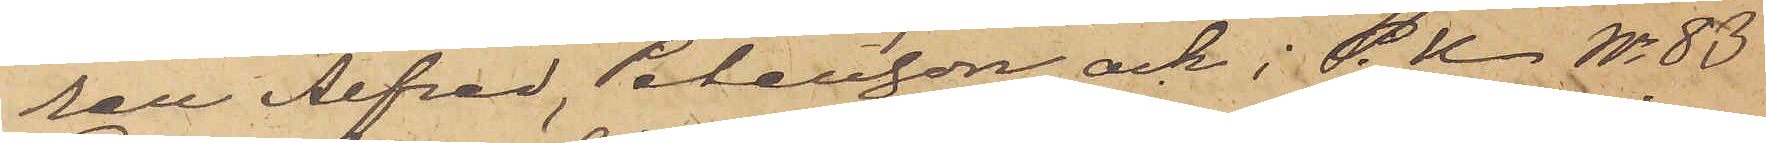ren Alfred Petersson och i P.U. No 83
